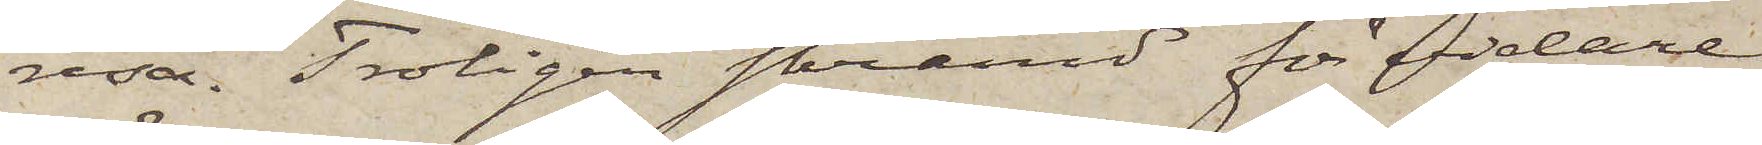resa. Troligen skrämd för vidare
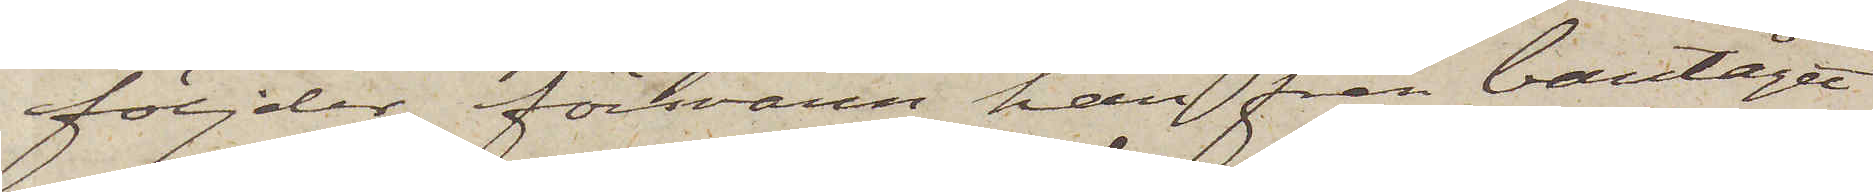följder, försvann han från bantåget
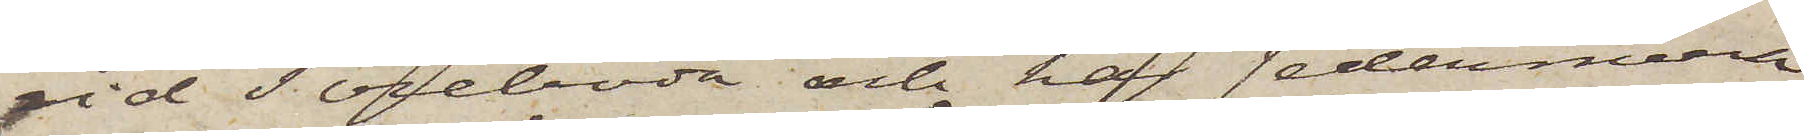vid Töreboda och har sedermera
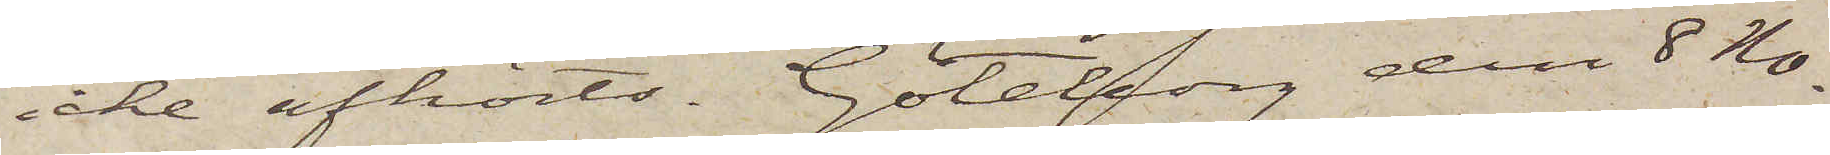icke afhörts. Göteborg den 8 No¬
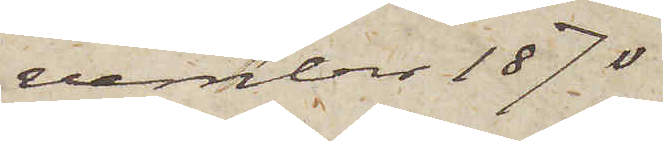vember 1870.
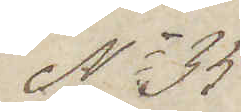No 35
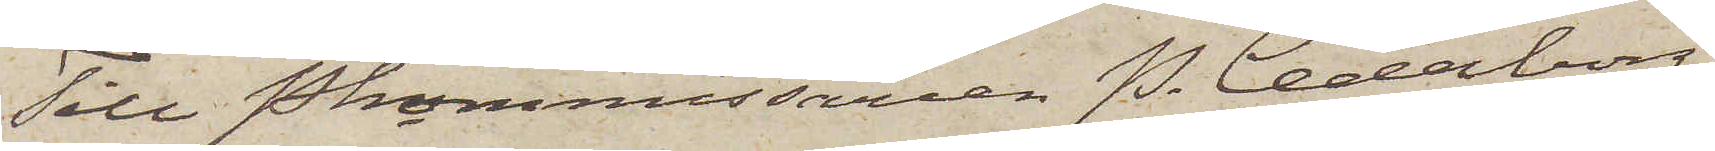Till Pkommissarien P. Cederborg.
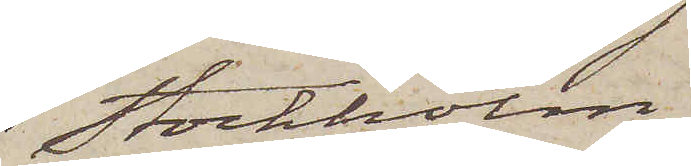Stockholm.
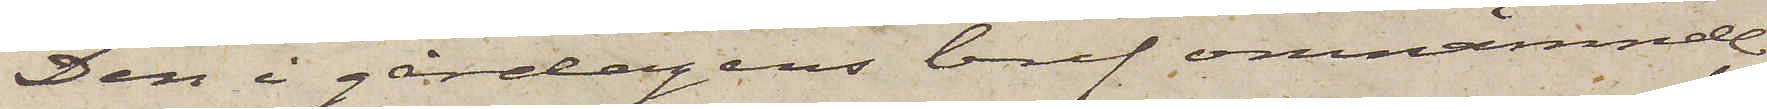Den i gårdagens bref omnämnde
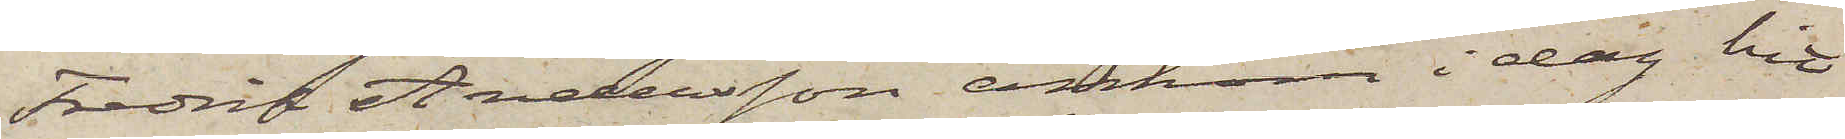Fredrik Andersson ankom i dag hit
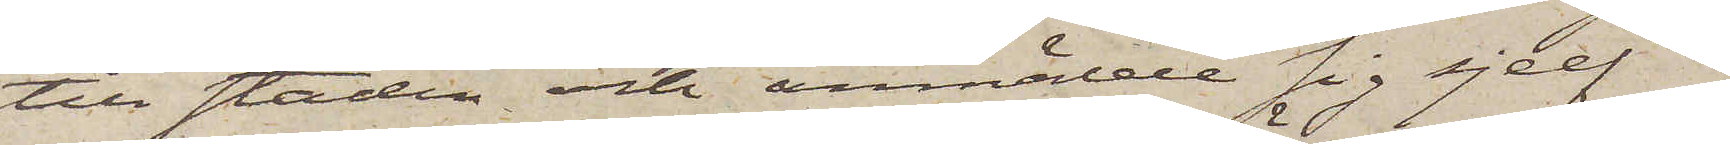till staden och anmälde sig sjelf i
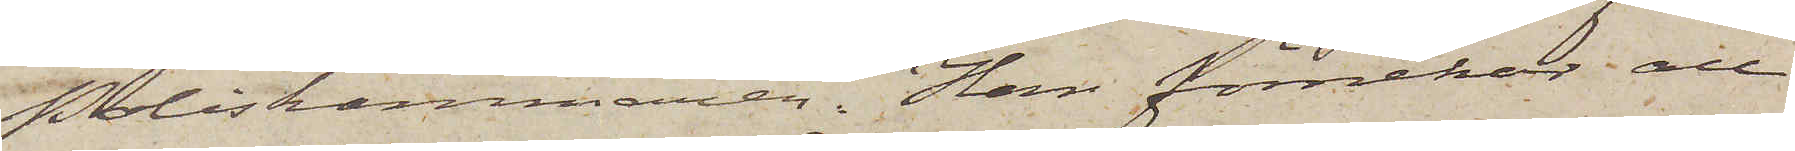Poliskammaren. Han förnekar all
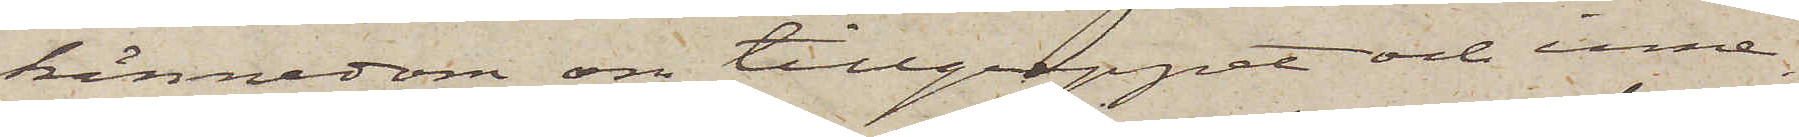kännedom om tillgreppet och inne¬
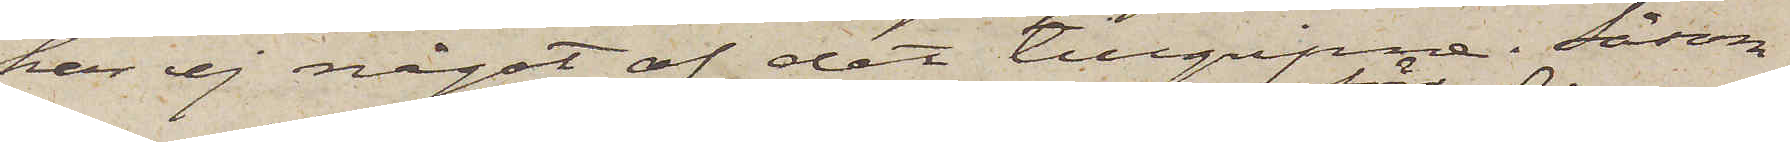har ej något af det tillgripne. Såsom
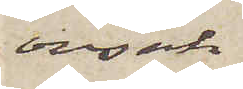orsak
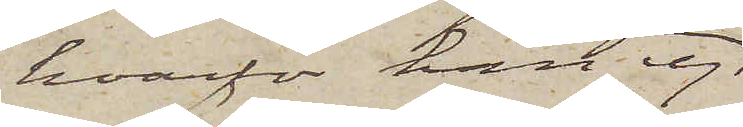hvarför han ej
